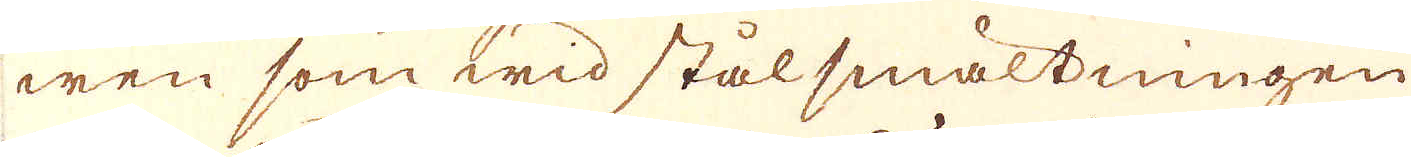wen som wid stålsmältningen
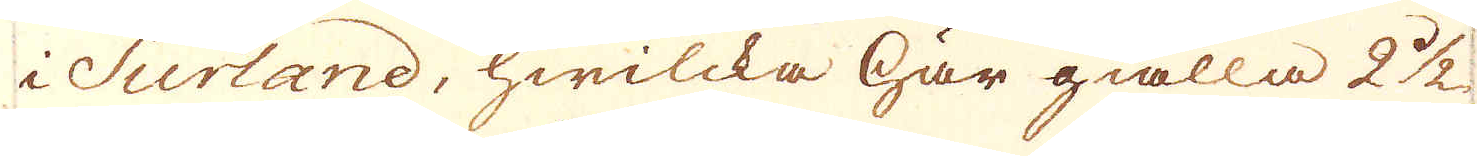i Surland, hwilcka här giälla 2 1/2
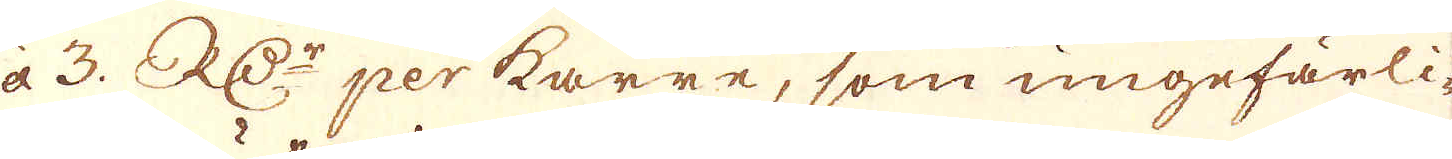à 3. R:Dr per karre, som ungefärli-
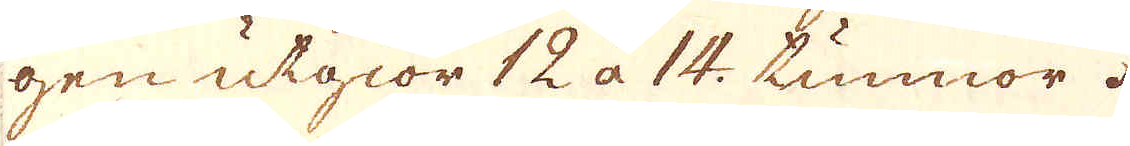gen utgiör 12 à 14. tunnor
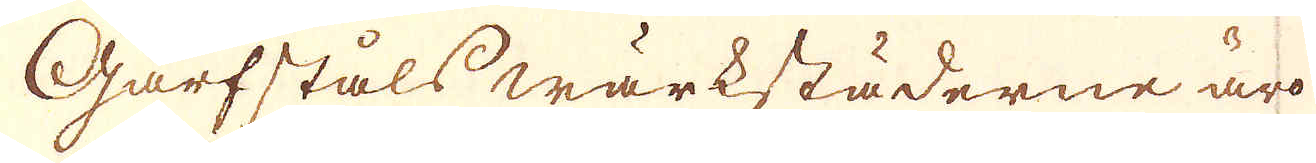Garfståls wärkstäderne äro
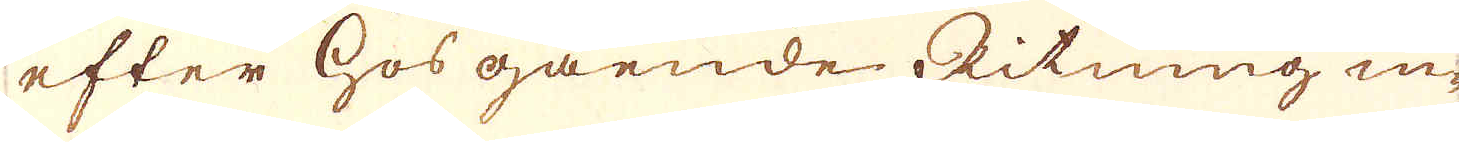efter hosgående Ritning in-
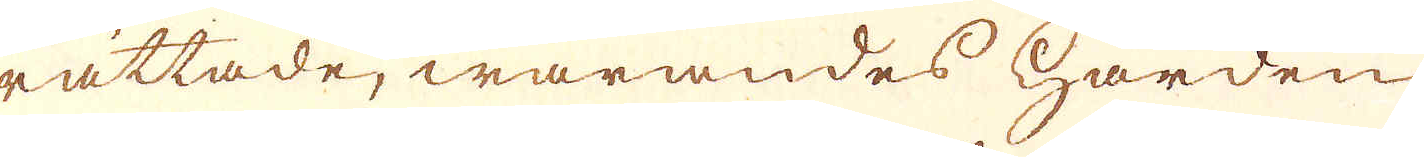rättade, warandes härden
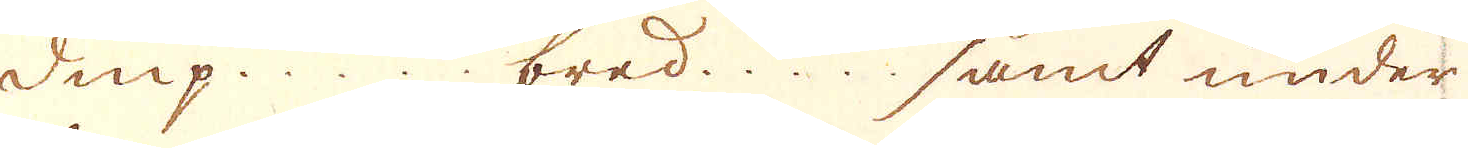diup ..... bred ..... samt under
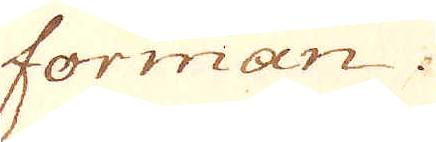forman .....
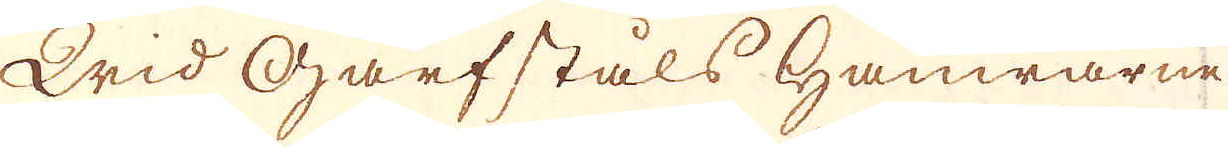Wid Garfståls hamrarne
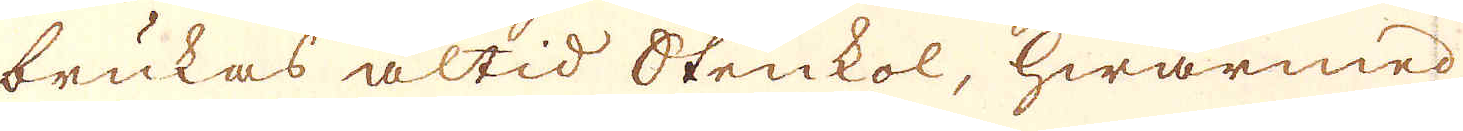brukas altid Stenkol, hwarmed
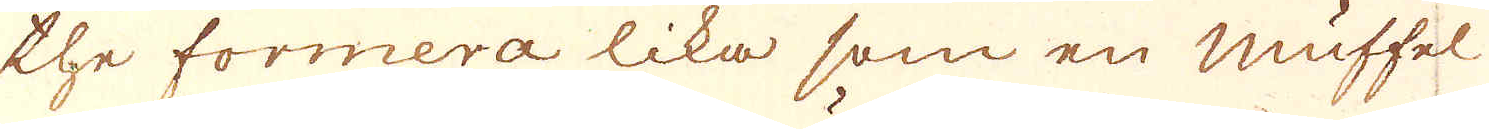the formera lika som en Muffel
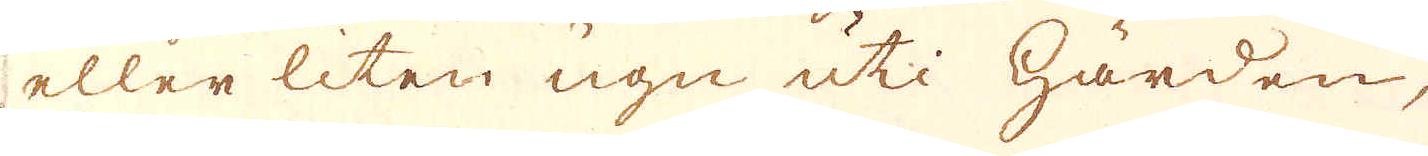eller liten ugn uti härden,
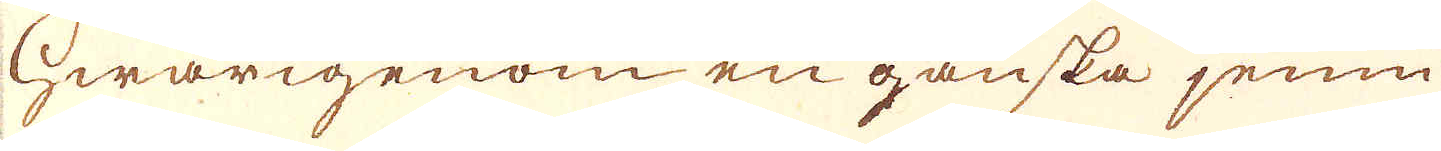hwarigenom en ganska jemn
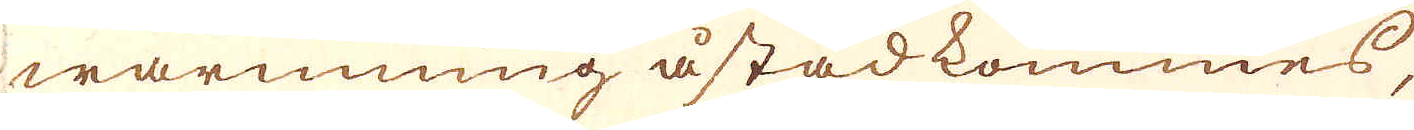warmning åstadkommes,
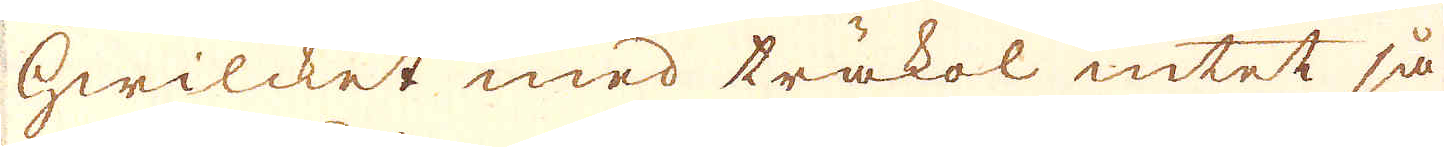hwilcket med träkol intet så
